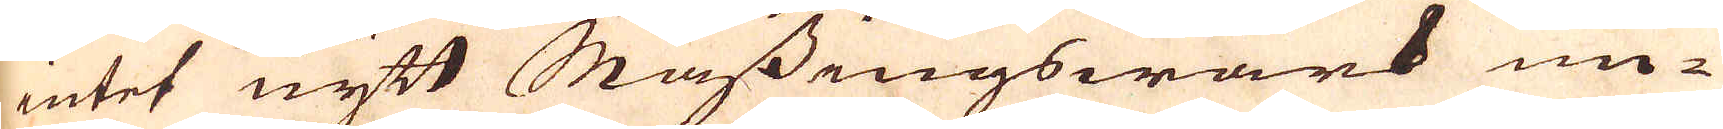intet nytt Mässingswärk un-
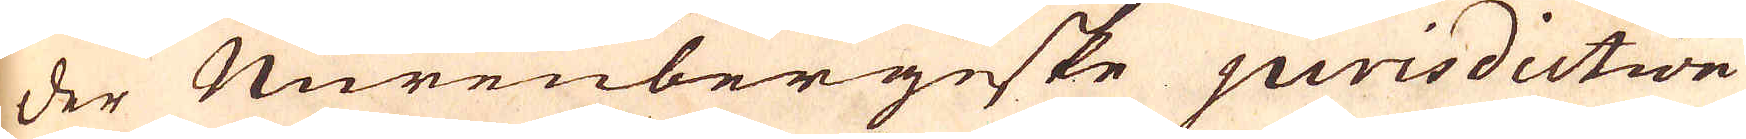der Murenbergiske jurisdiction
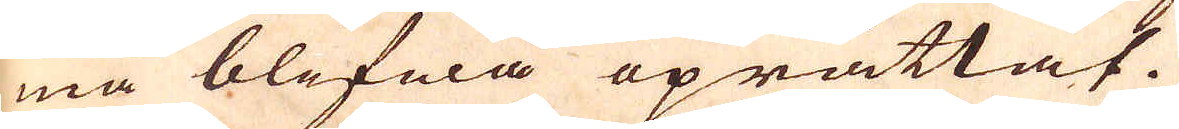må blifwa uprättat.
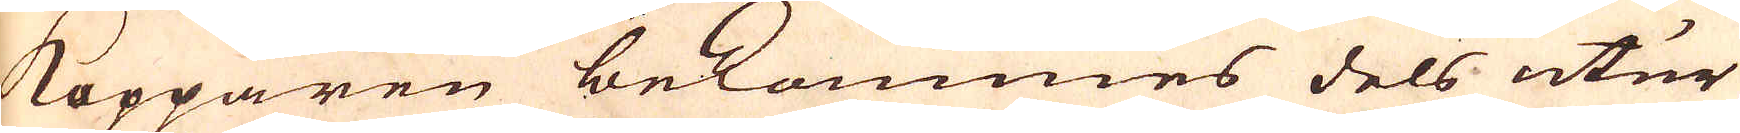Kopparen bekommes dels utur
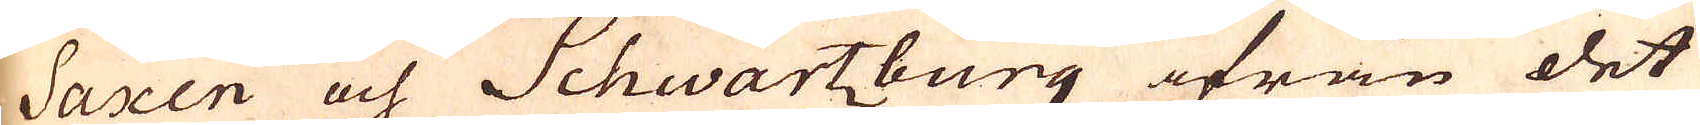Saxen och Schwartzburg ifrån det
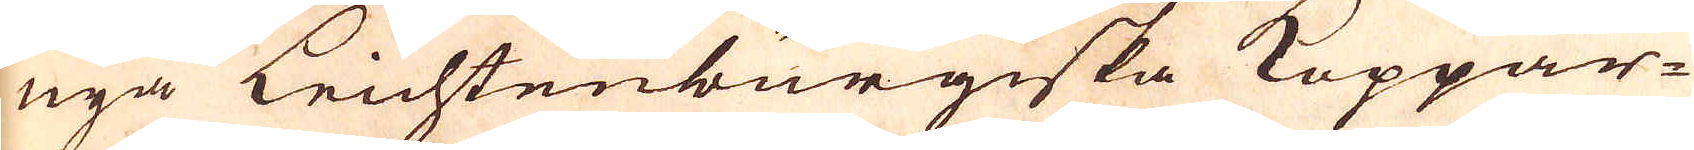nya Leichtenburgiska Koppar-
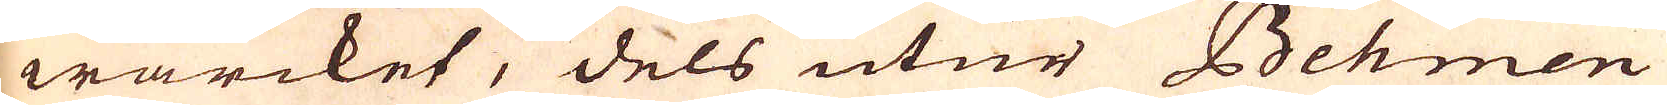wärcket, dels utur Behmen
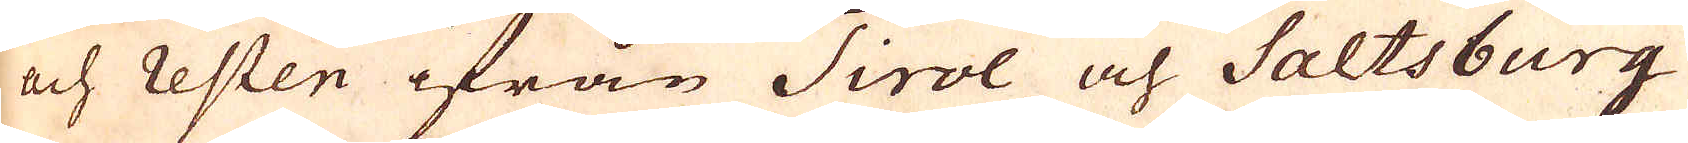och resten ifrån Tirol och Saltsburg
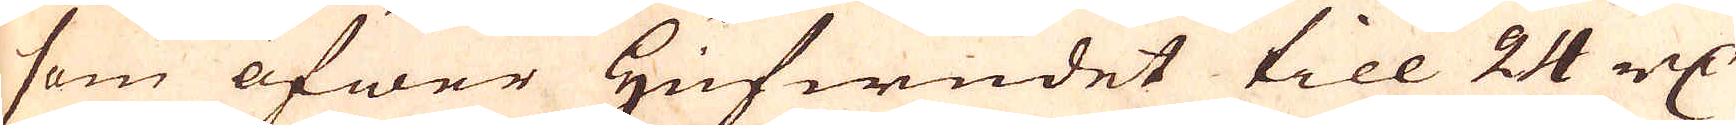som öfwer Hufwudet till 24 r:dr
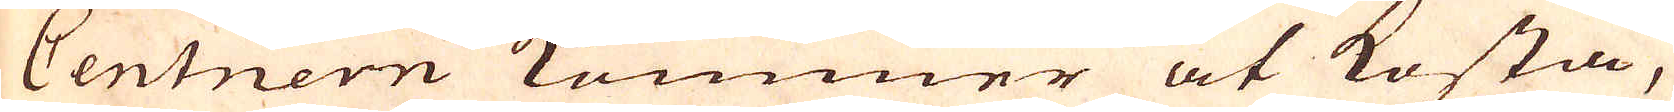Centnern kommer at kosta,
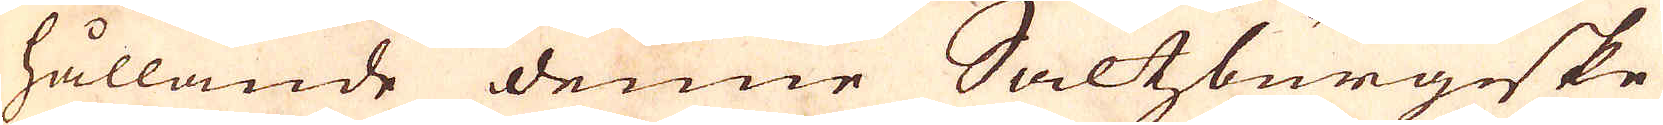hållande denne Saltzburgeske
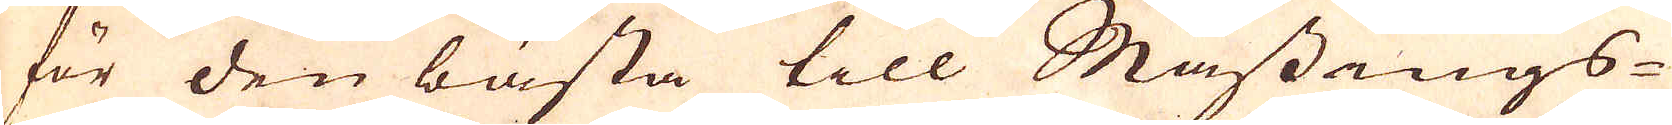för den bästa till Mässings-
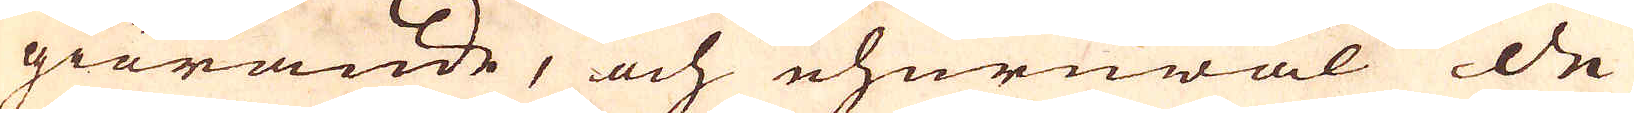giörande, och ehuruwäl de
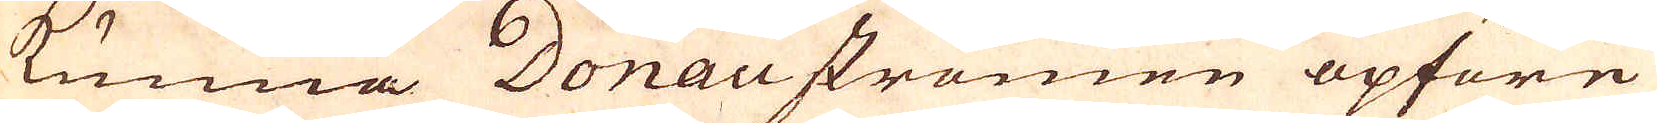kunna Donaustromen opföre
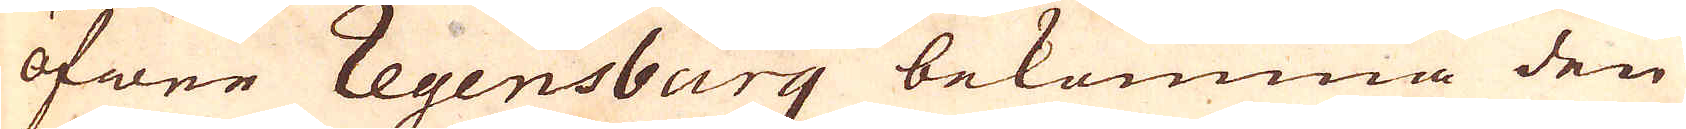öfwer Regensburg bekomma den
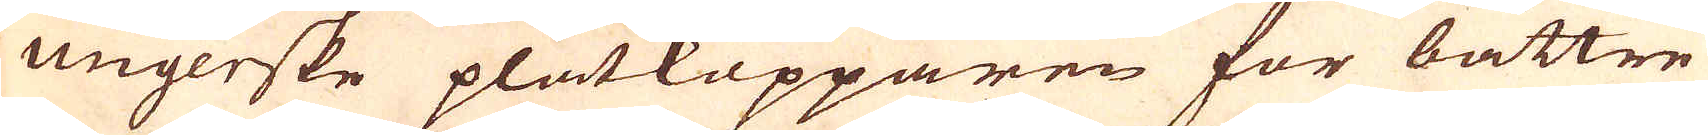Ungerske plåtkopparen för bättre
